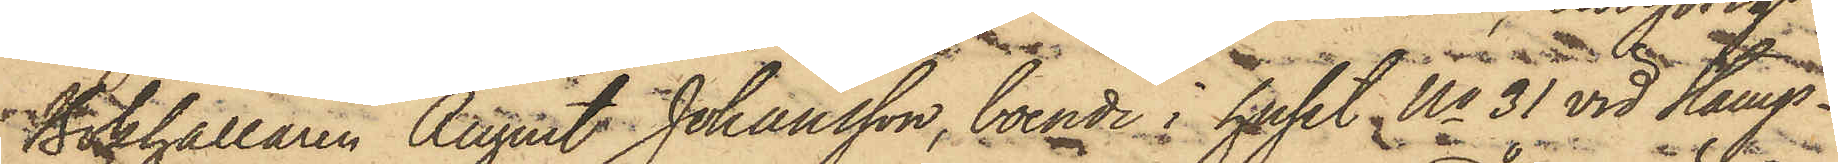Bokhållaren August Johansson, boende i huset No 31 vid Kungs¬
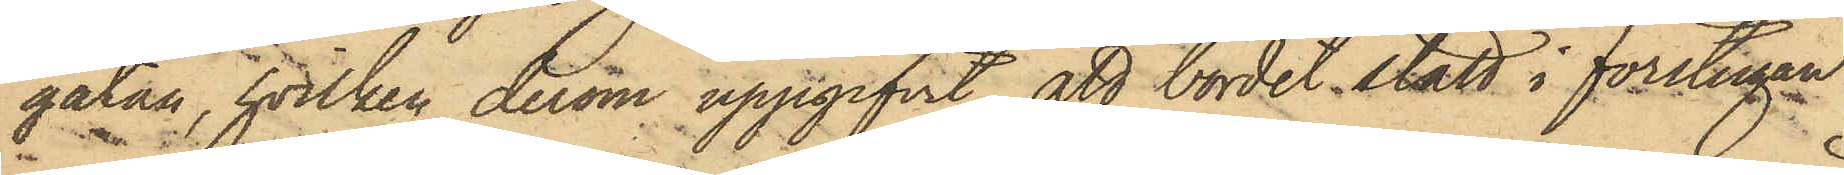gatan, hvilken derom uppgifvit, att bordet stått i förstugen
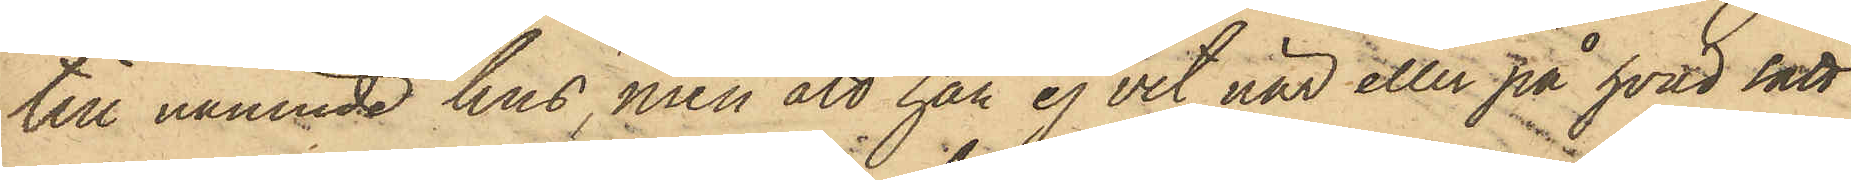till nämnde hus, men att han ej vet när eller på hvad sätt
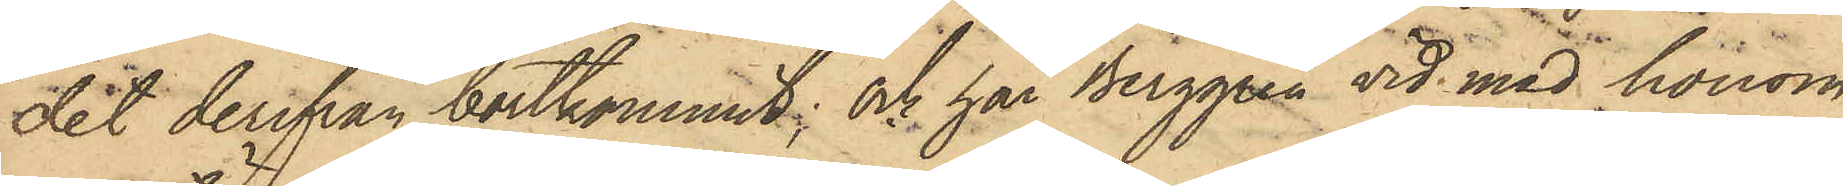det derifrån bortkommit; och har Berggren vid med honom
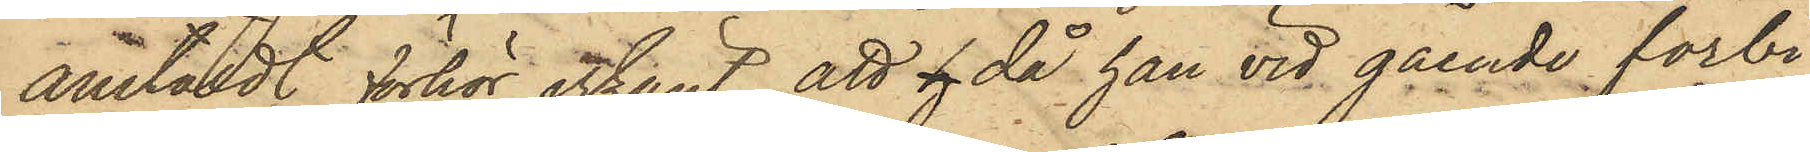anställdt förhör erkänt, att h då han vid gående förbi
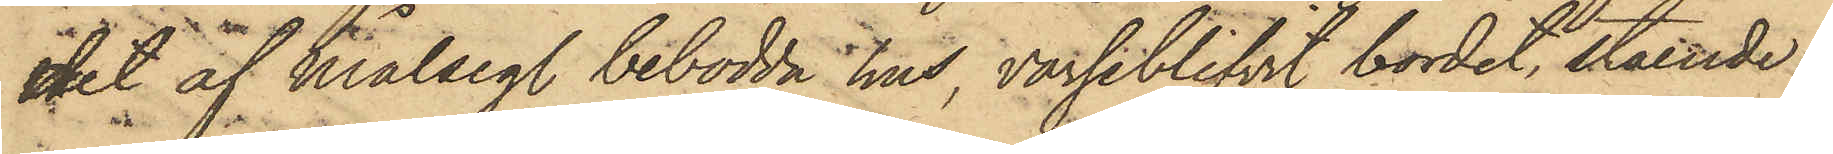det af Målseg. bebodda hus, varseblifvit bordet, stående i
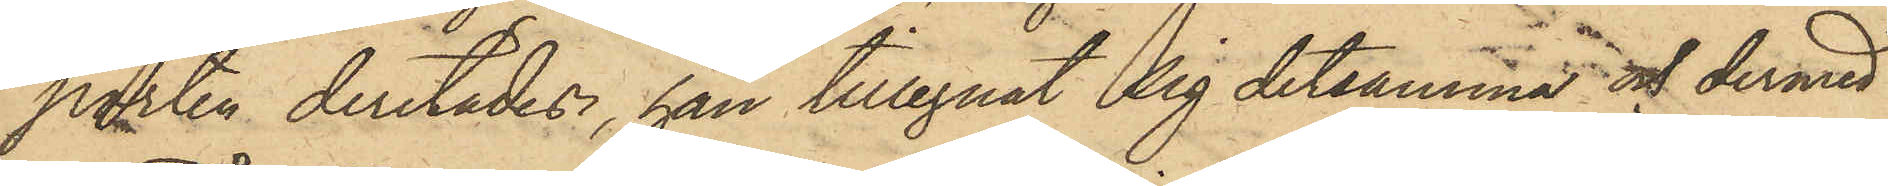porten derstädes, han tillegnat sig detsamma och dermed
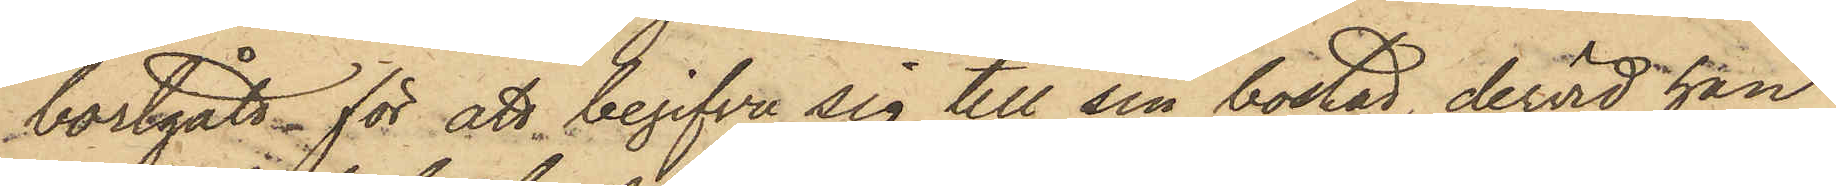bortgått för att begifva sig till sin bostad, dervid han
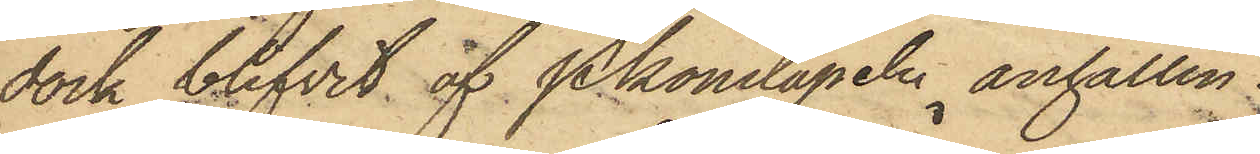dock blifvit af Pkonstapeln anhållen.
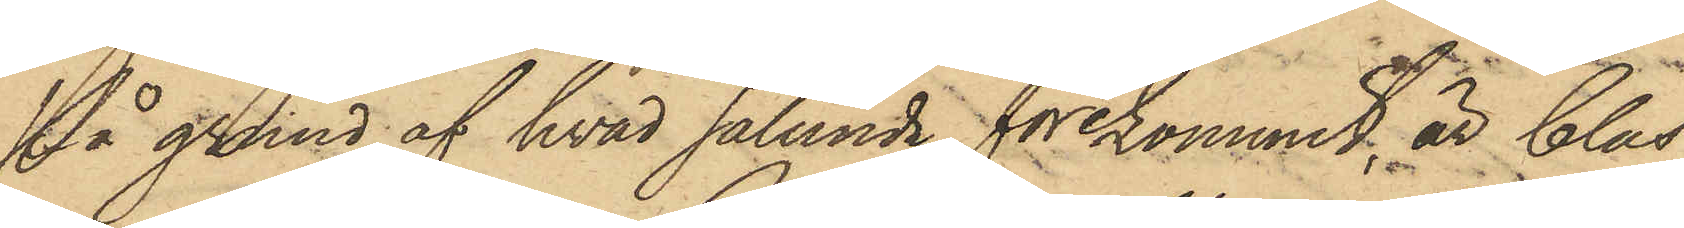På grund af hvad sålunda förekommit, är Clas
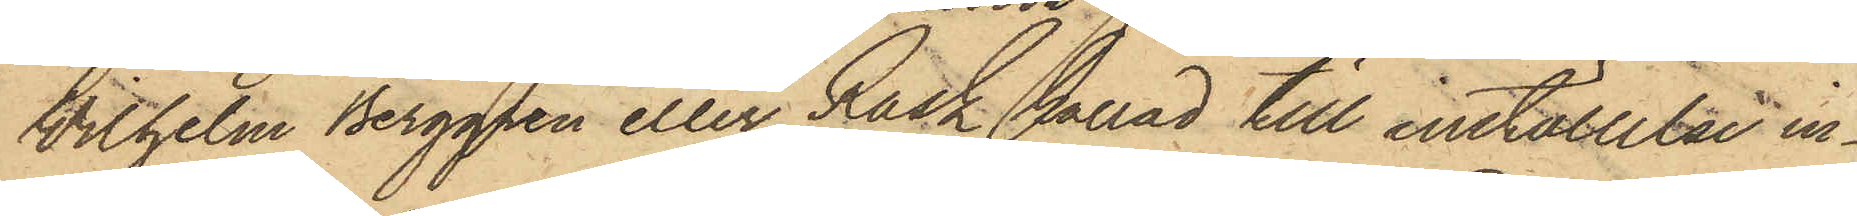Wilhelm Berggren eller Rask kallad till inställelse in¬
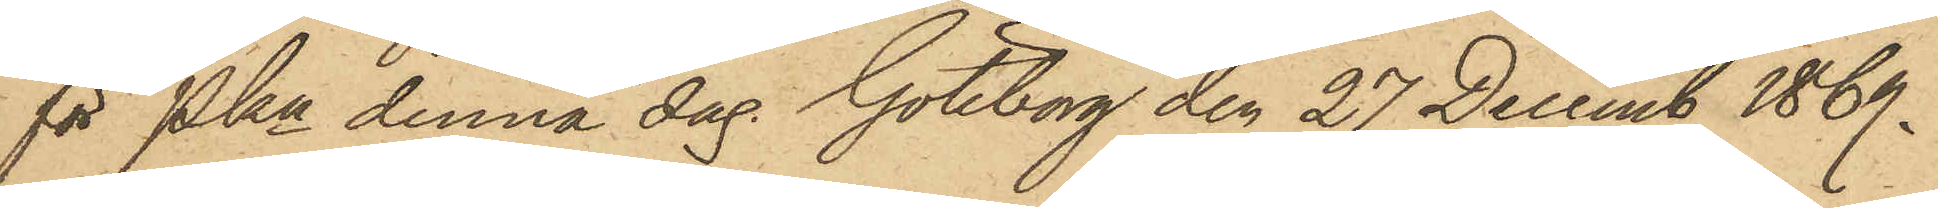för Pkn denna dag. Göteborg den 27 Decemb 1869.
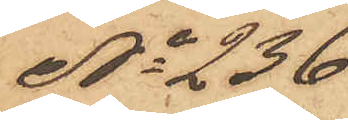No 236
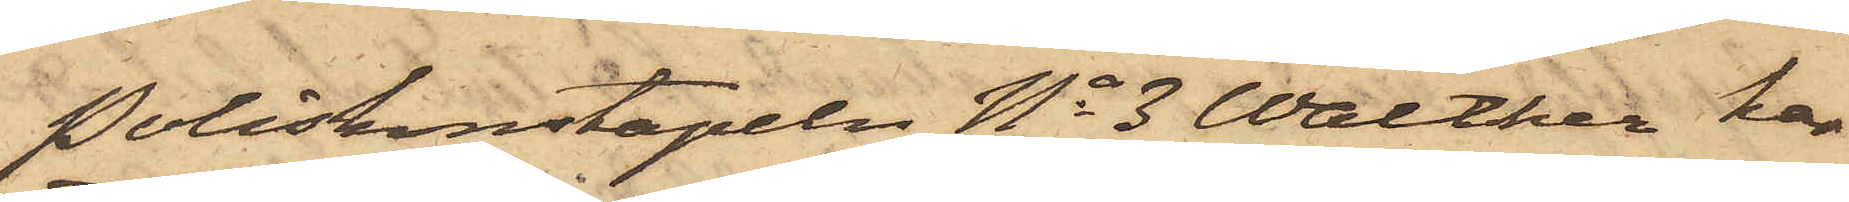Poliskonstapeln No 3 Walther har
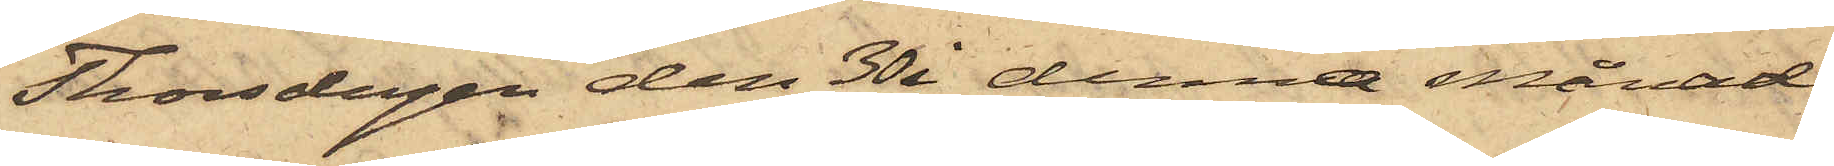Thorsdagen den 30 i denna månad
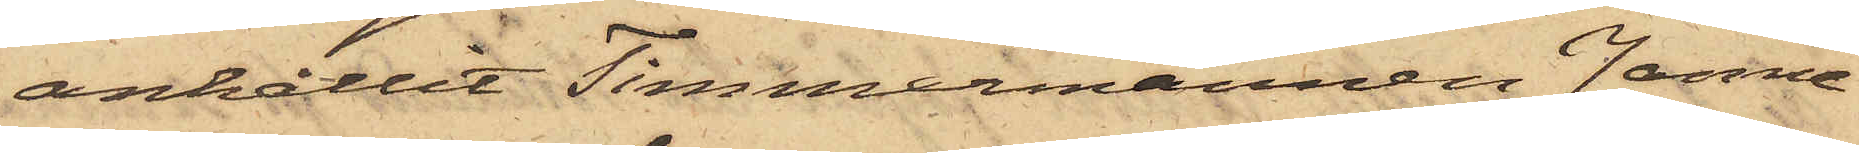anhållit Timmermännen Janne
